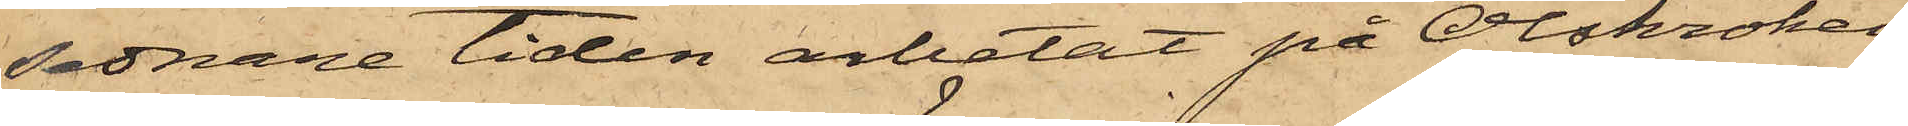sednare tiden arbetat på Olskroken
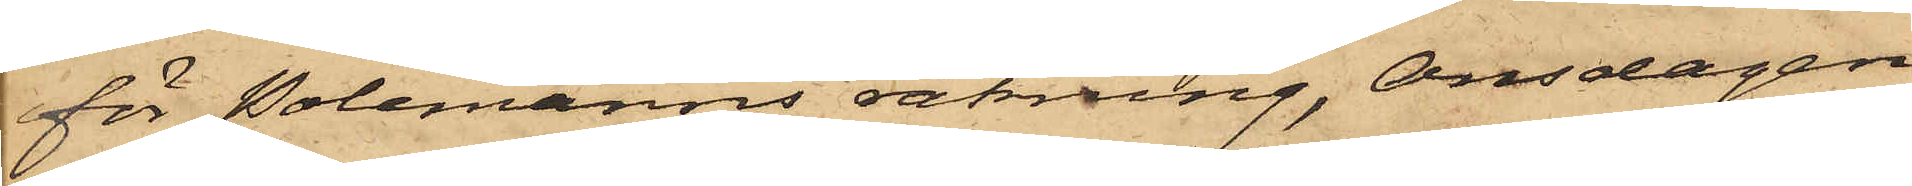för Polemanns räkning, Onsdagen
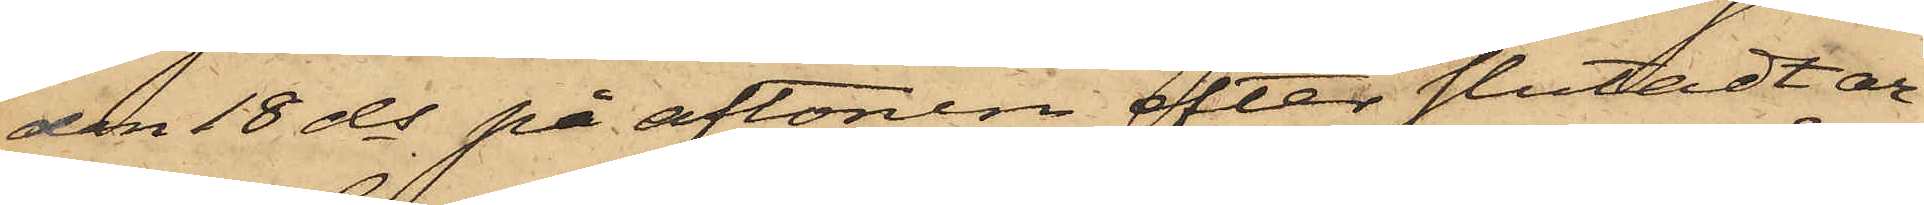den 18 ds på aftonen efter slutadt ar¬
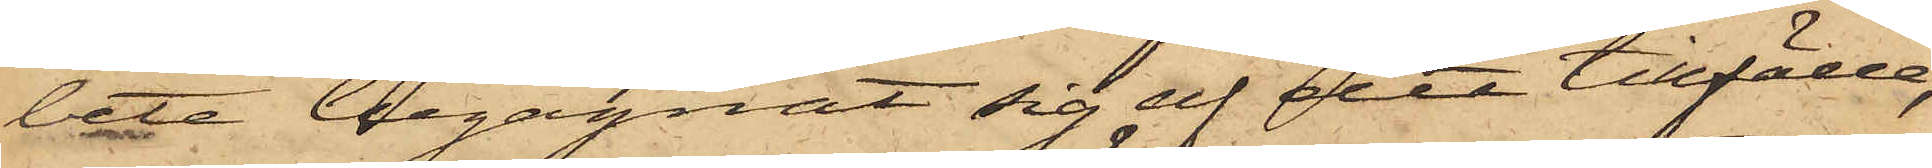bete begagnat sig af det tillfälle,
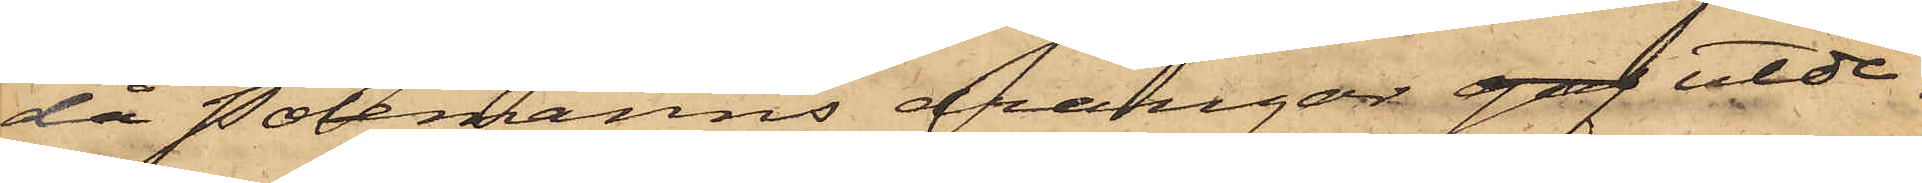då Polemanns drängar gaf utde¬
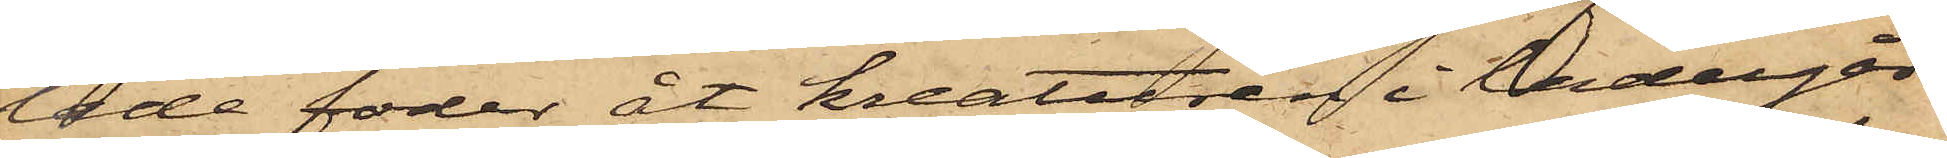lade foder åt kreaturen i ladugår¬
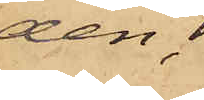den, 
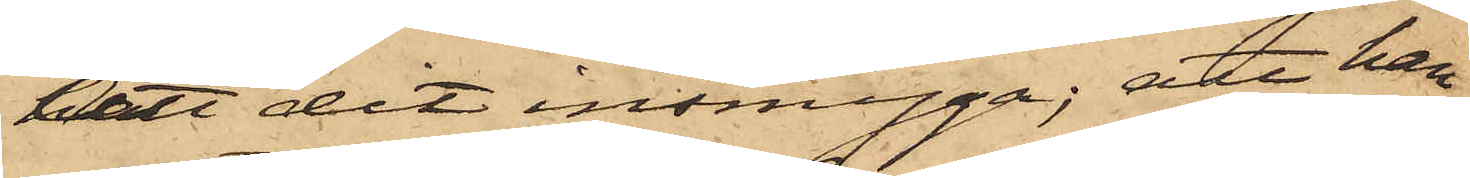att dit insmyga; att han
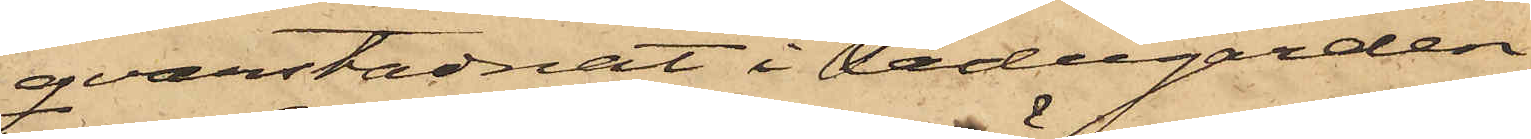qvarstadnat i ladugården,
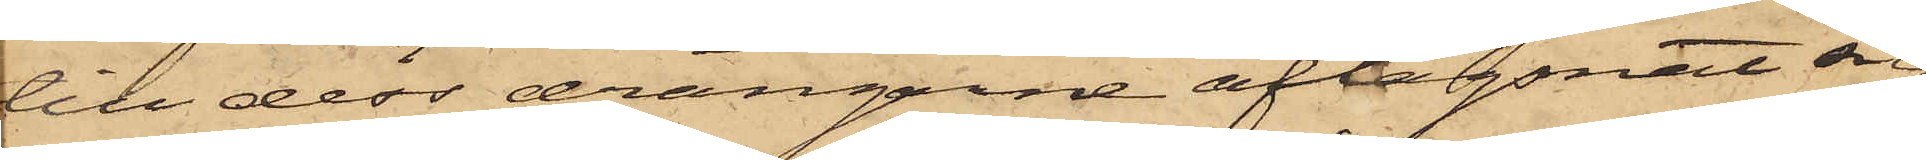till dess drängarne aflägsnat sig
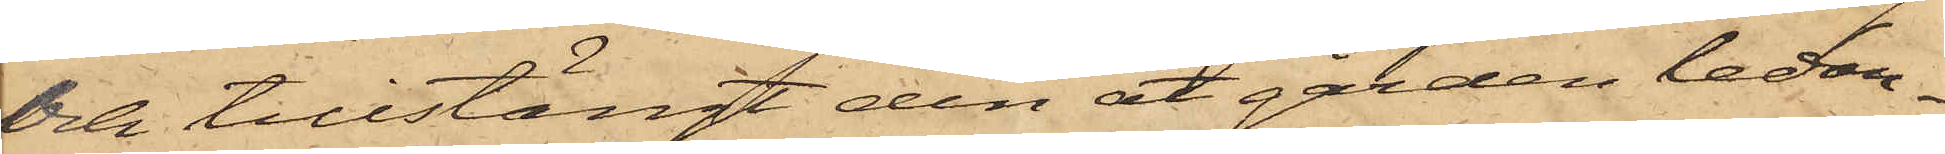och tillstängt den åt gården ledan¬
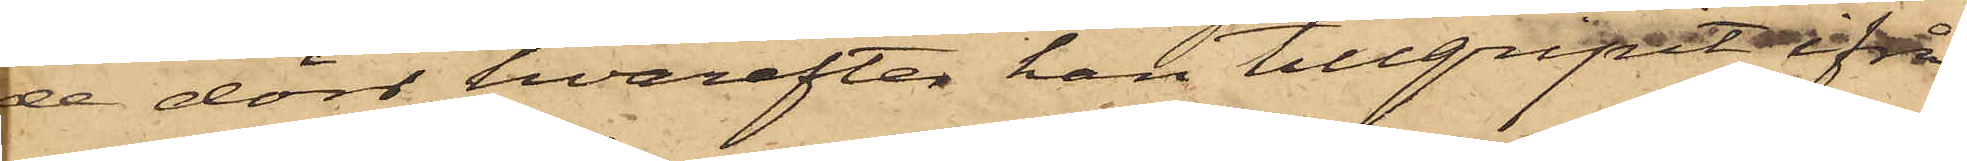de dörr, hvarefter han tillgripit ifrå¬
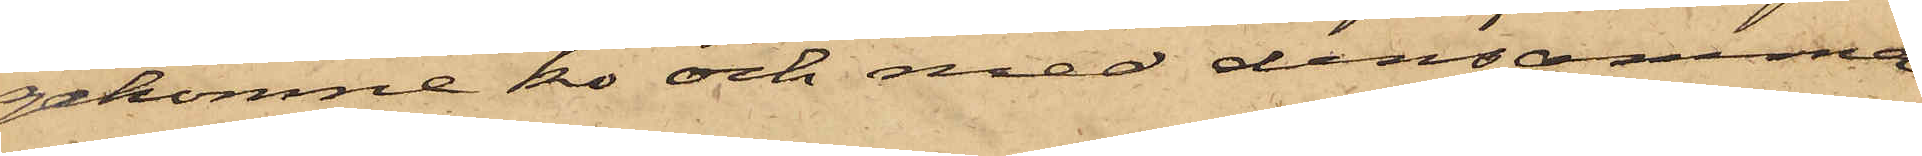gakomne ko och med densamma
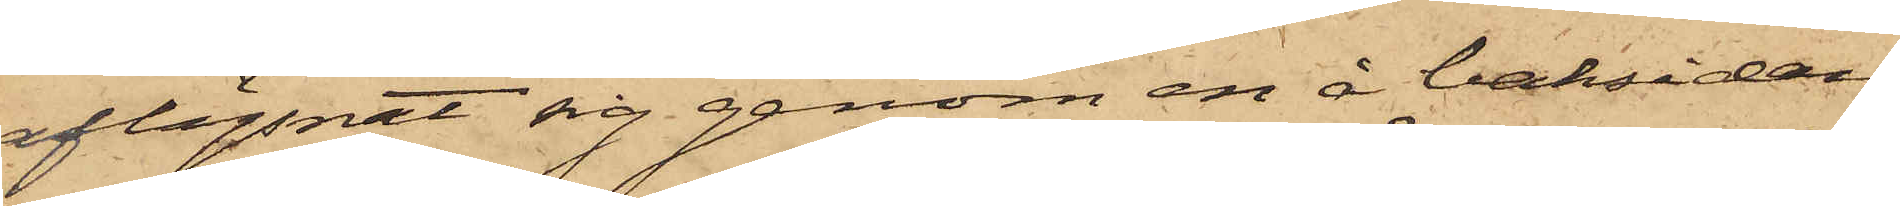aflägsnat sig genom en å baksidan
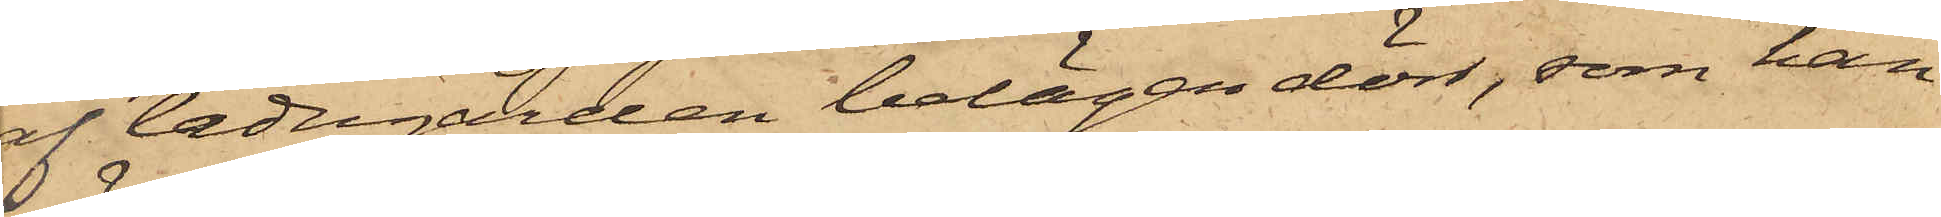af ladugården belägen dörr, som han
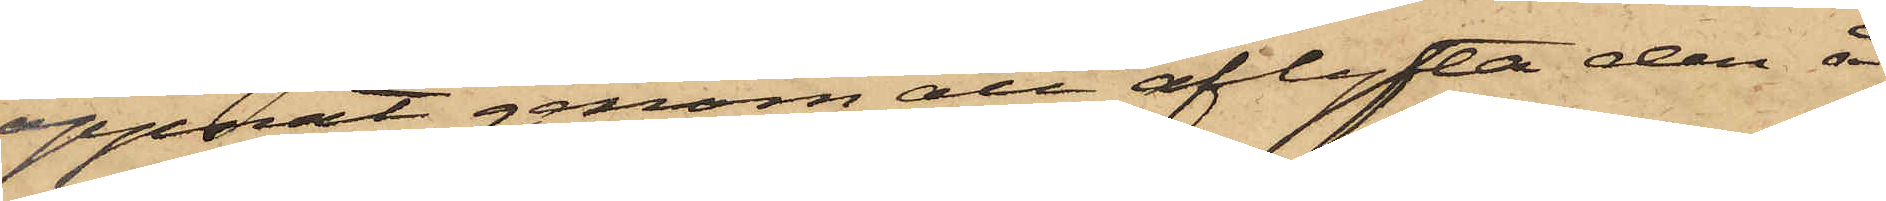öppnat genom att aflyfta den å
